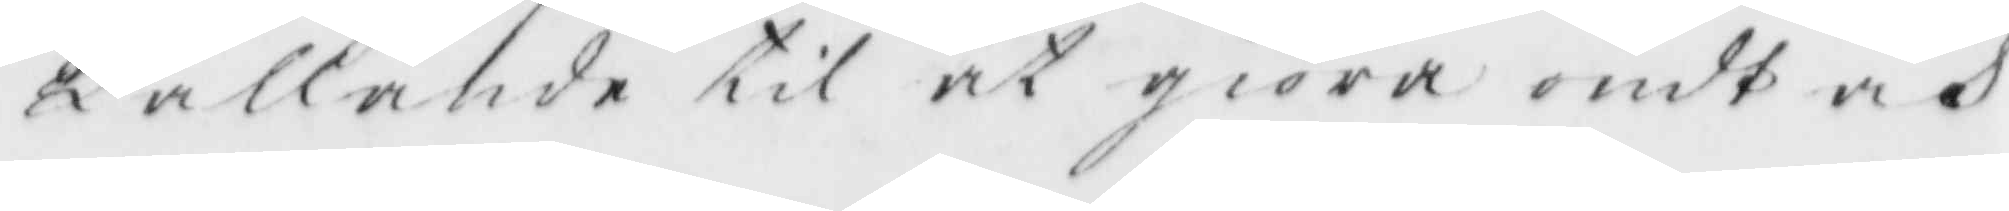kallande til at giöra ondt och
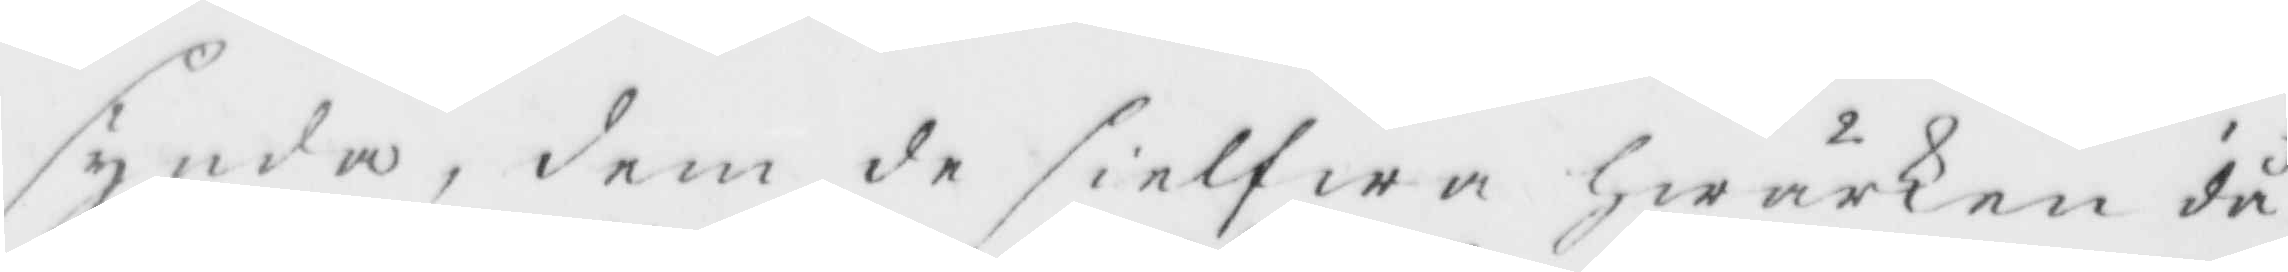synda, dem de sielfwa Hwarken då
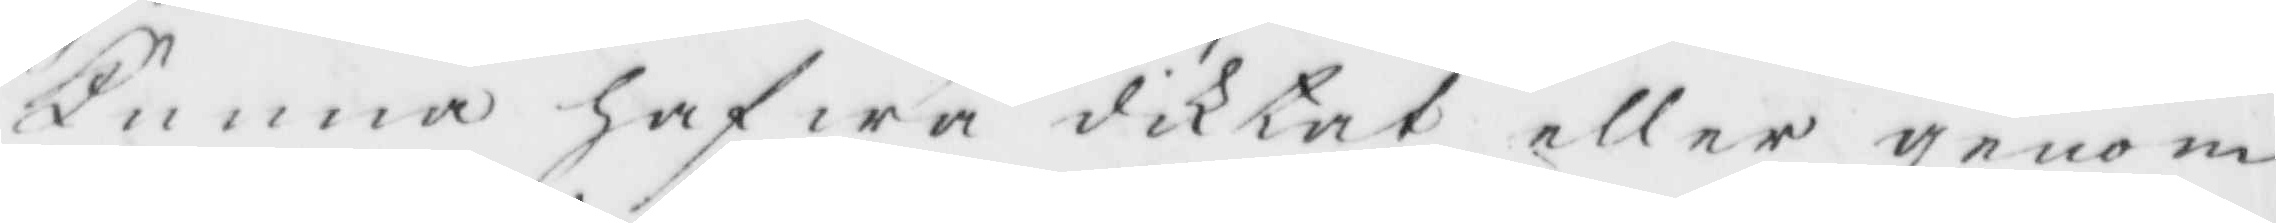kunna Hafwa diktat eller genom
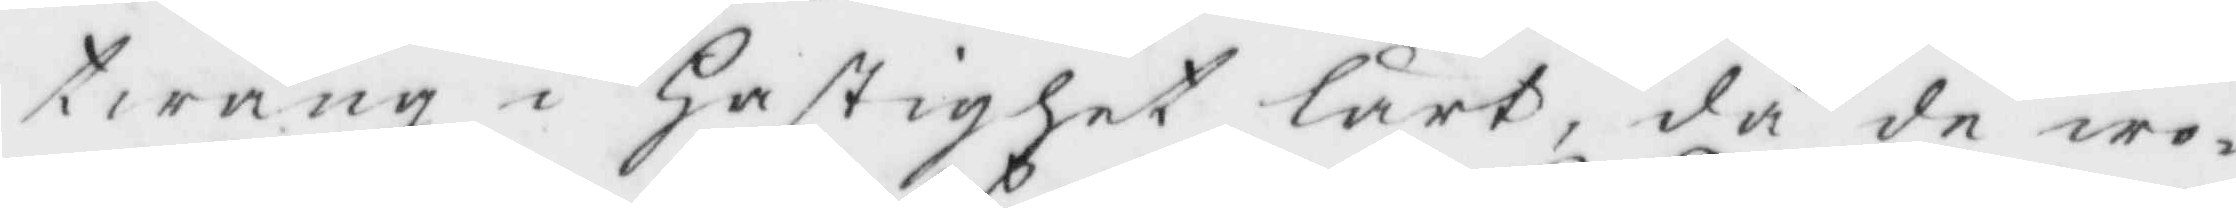twång i Hastighet lärt, då de wo¬
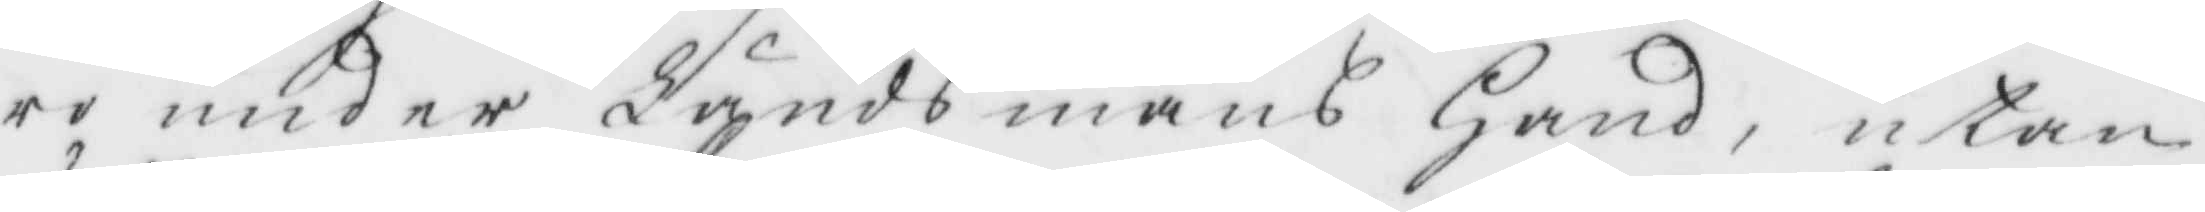ro under Ländsmans Hans, utom
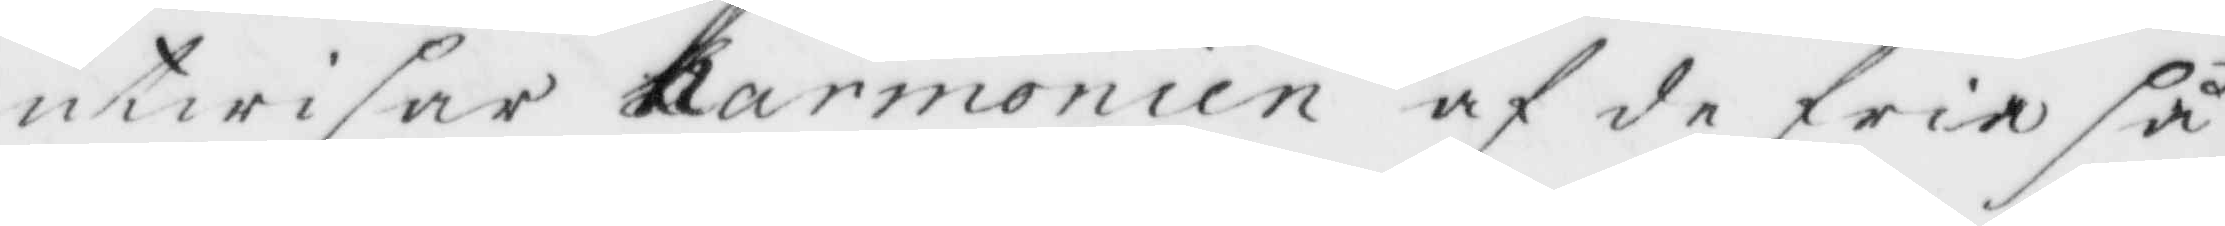utwisar harmonien af de fria så
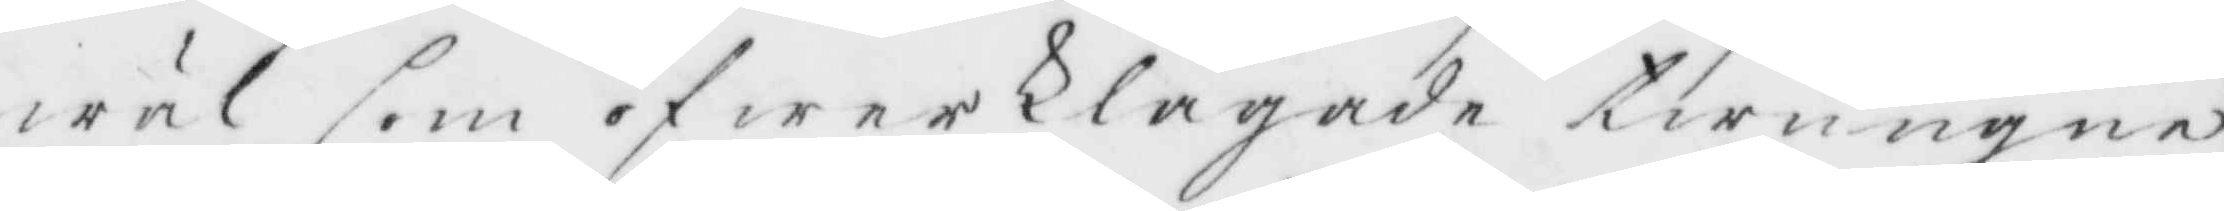wäl som öfwerklagade twungne
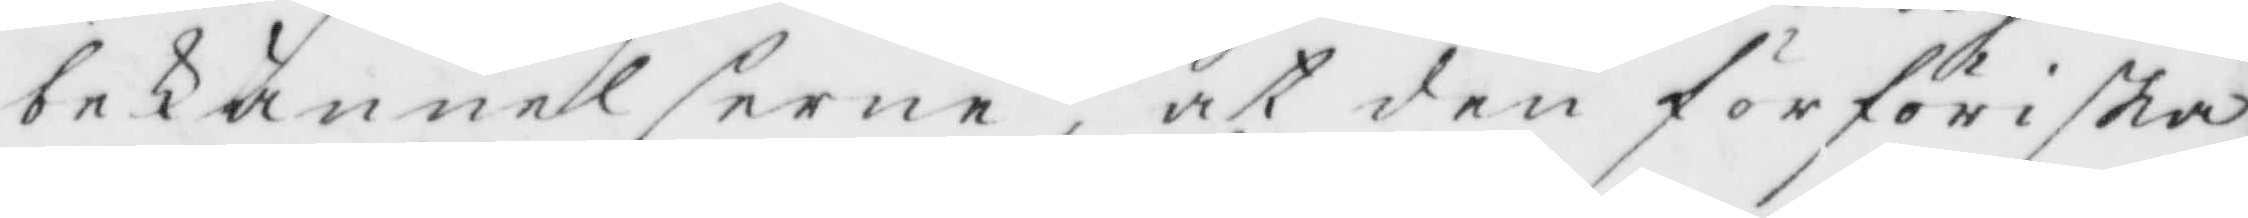bekännelserne, at den förföriska
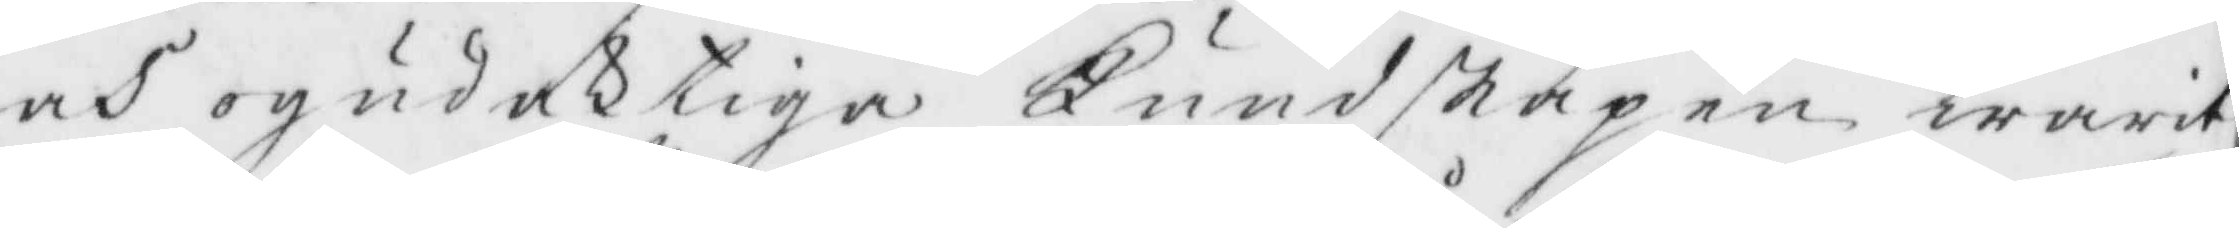och ogudaktige Kundskapen warit
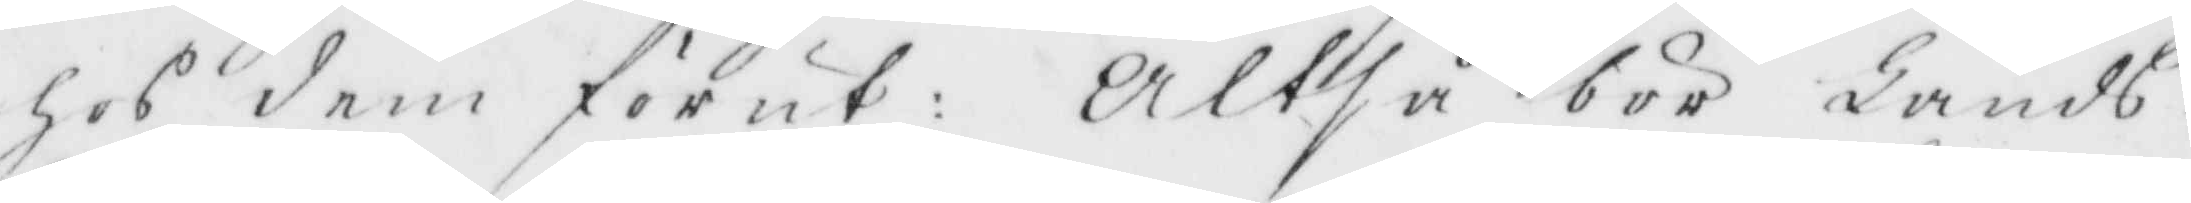hos dem förut: Altså bör Lands¬
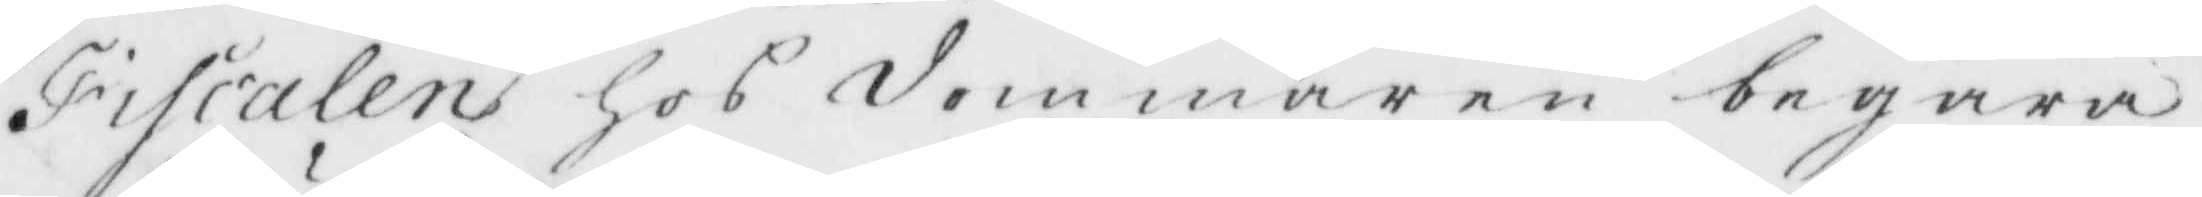Fiscalen hos dommaren begära
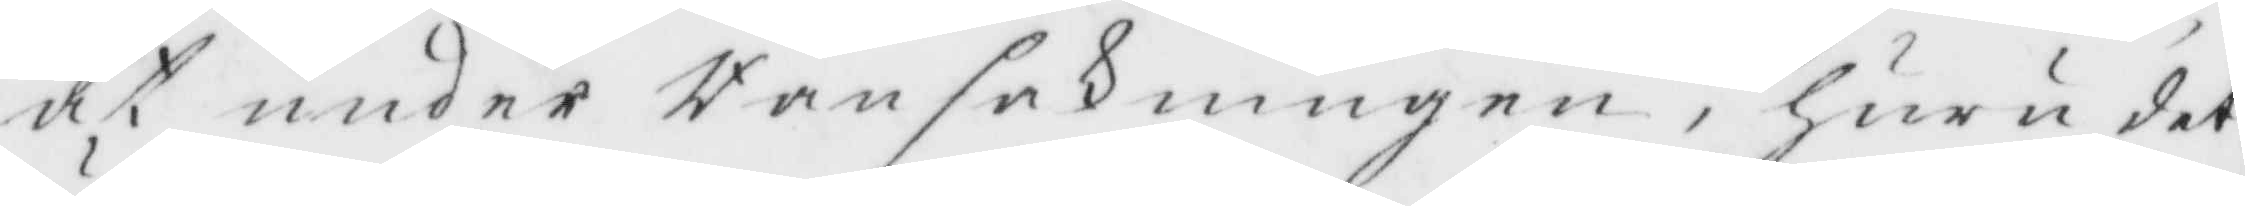at under Ransakningen, Huru det
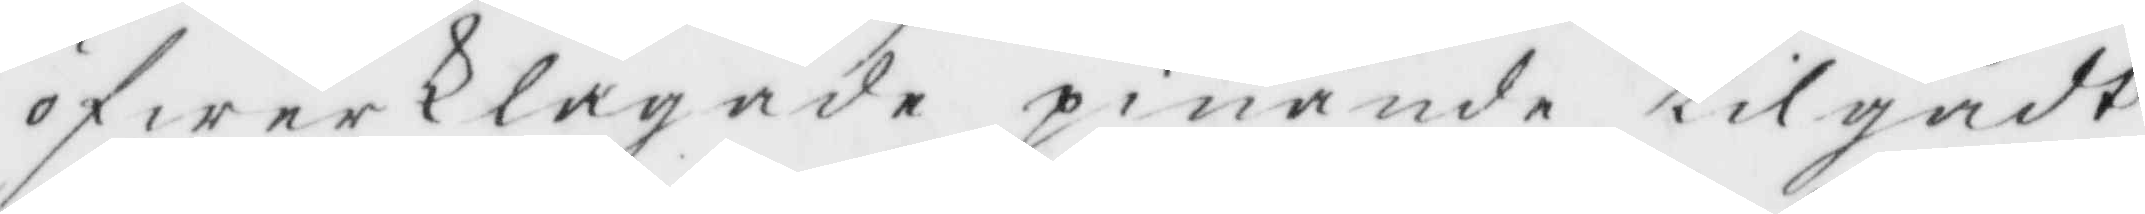öfwerklagade pinande tilgådt,
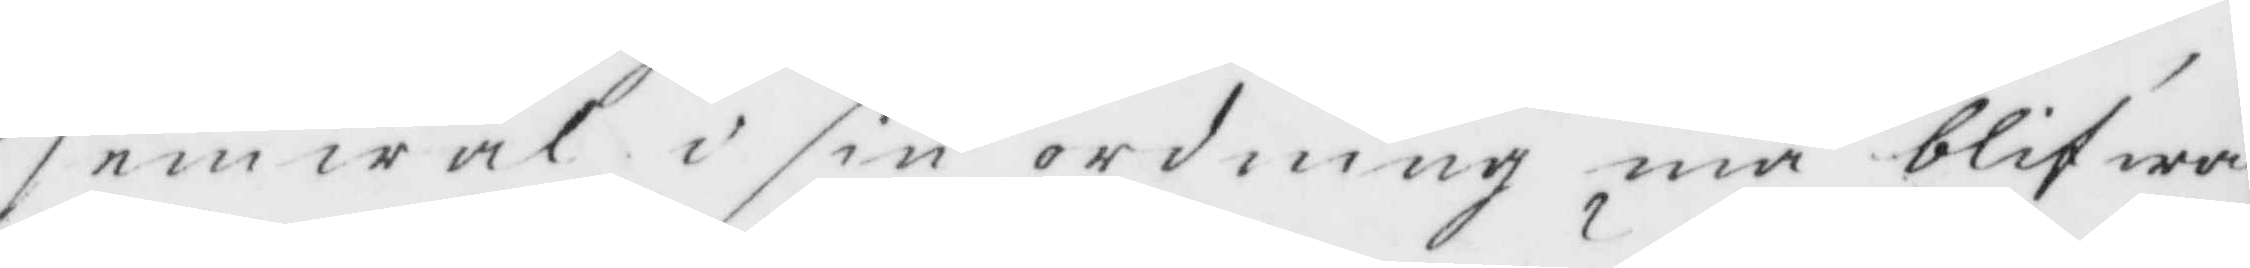jemwäl i sin ordning må blifwa
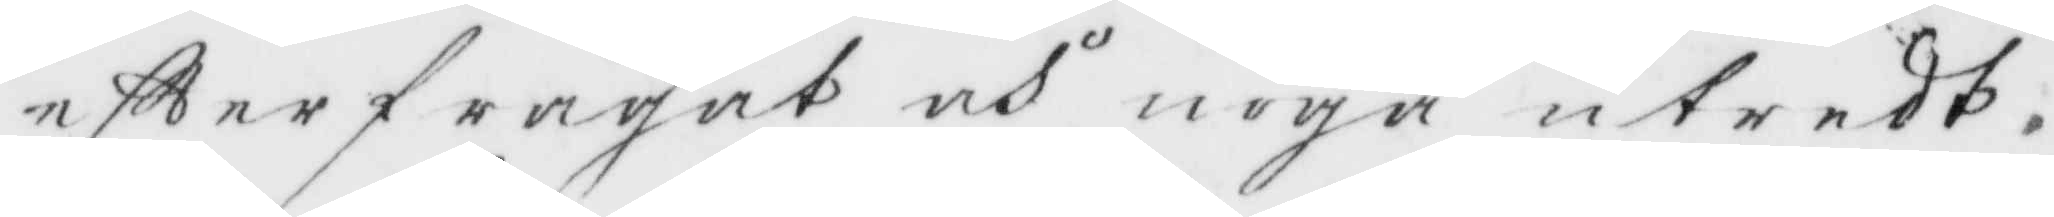efterfrågat och noga utredt.
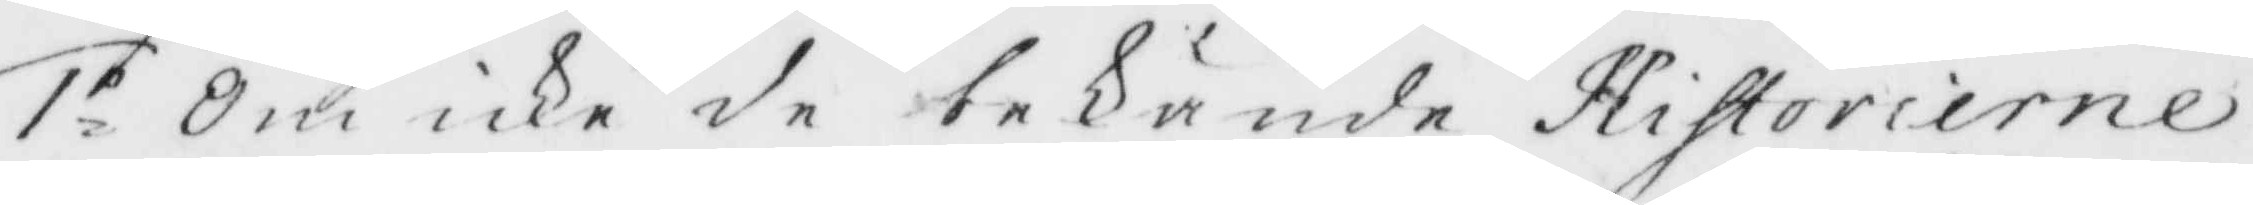1.o Om icke de bekände Historierne
